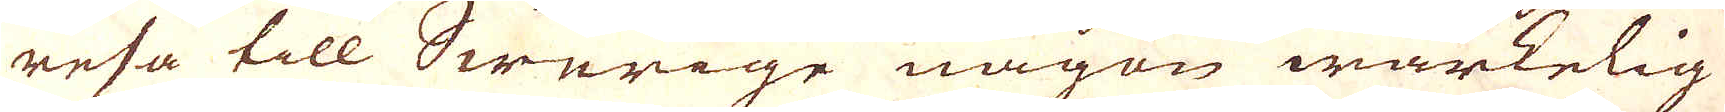resa till Swerige någon wärkelig
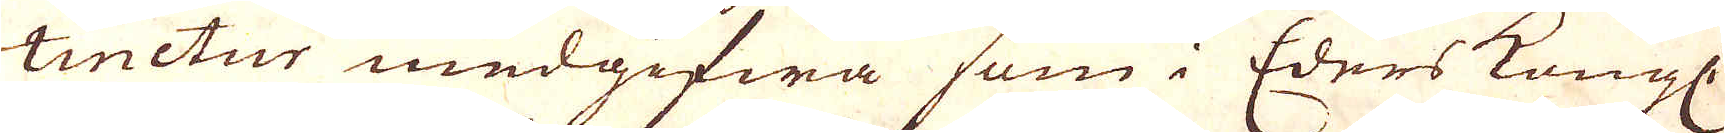tinctur medgifwa som i Eders Kongl.
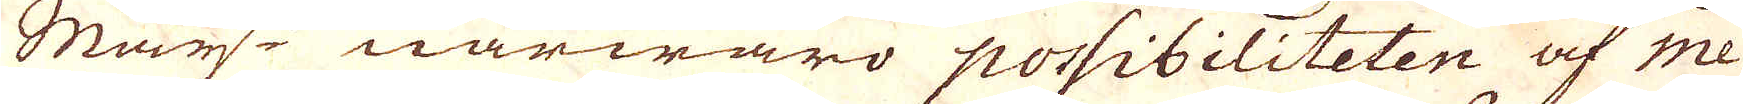Maij:ts närwäro possibiliteten af me-
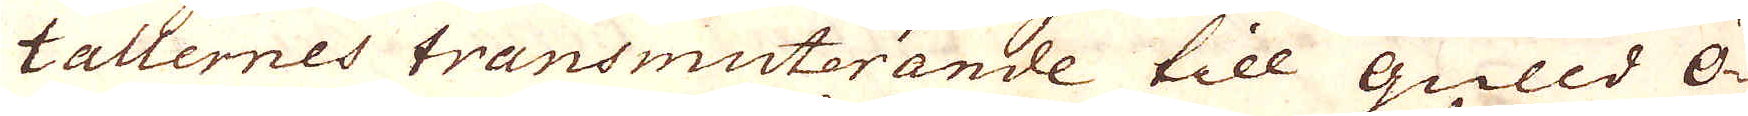tallernes transmuterande till gulld Ö-
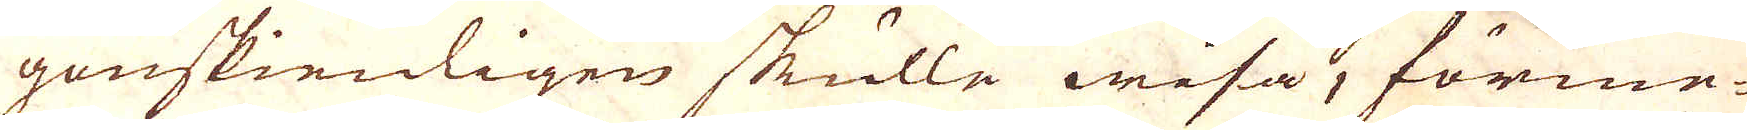genskienligen skulle wisa, förme-
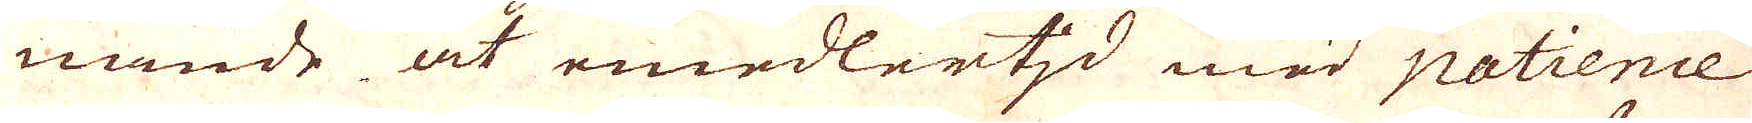nande at emedlertjd med patience
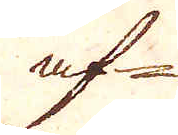af-
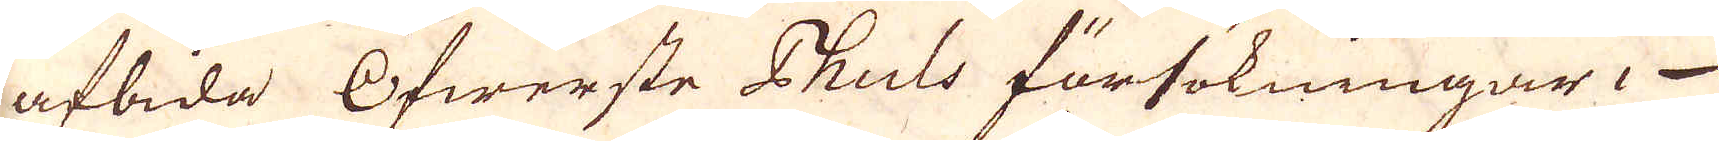afbida Öfwerste Thuls försökningar,
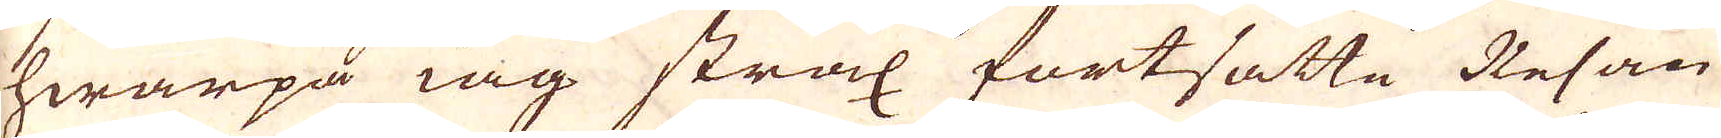hwarpå iag strax fortsatte Resan
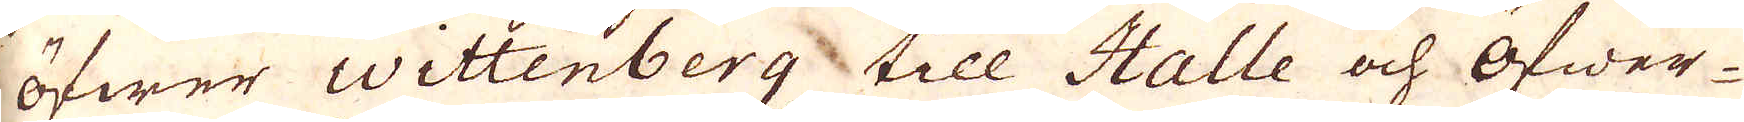öfwer Wittenberg till Halle och Öfwer-
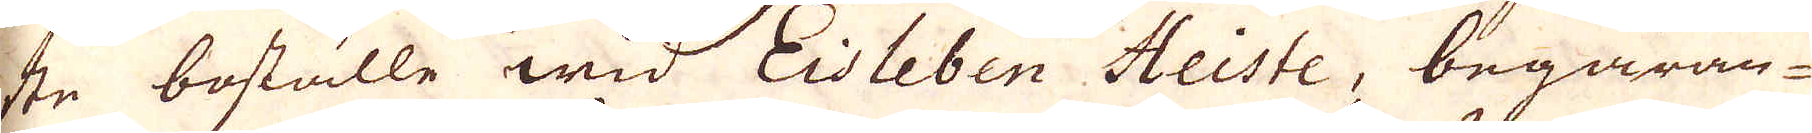ste boställe wid Eisleben Heiste, begäran-
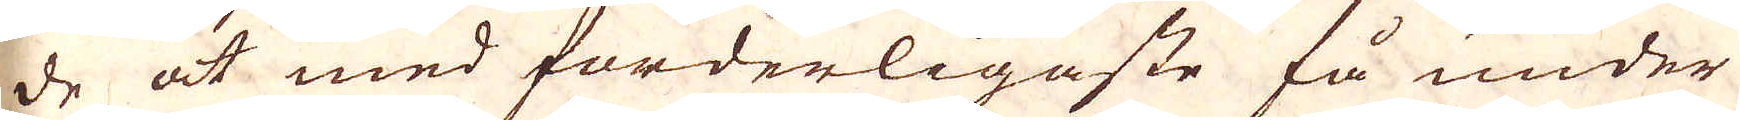de at med forderligaste få under
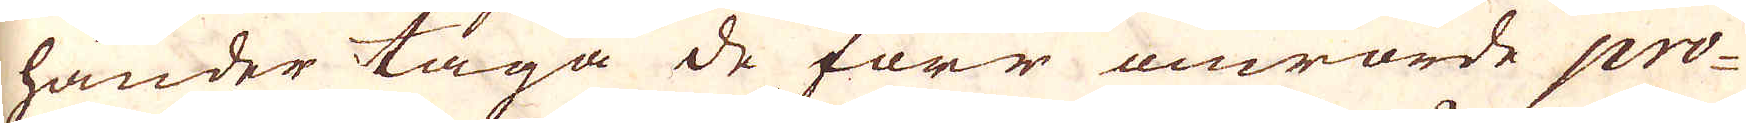händer taga de förr omrörde pro-
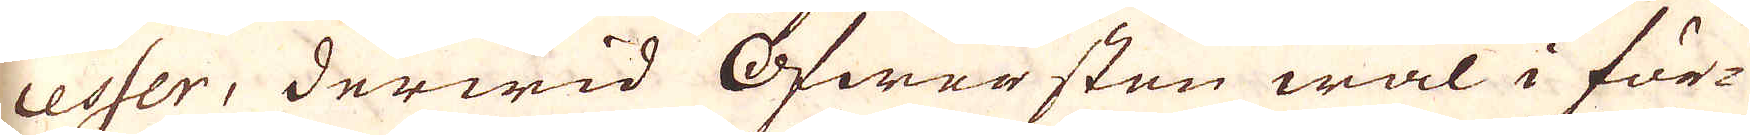cesser, derwid Öfwersten wäl i för-
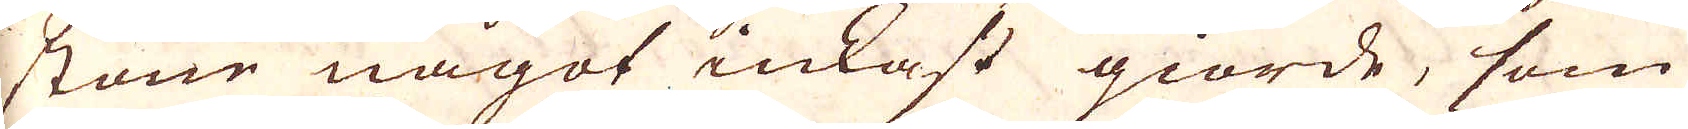stone något inkast giorde, som
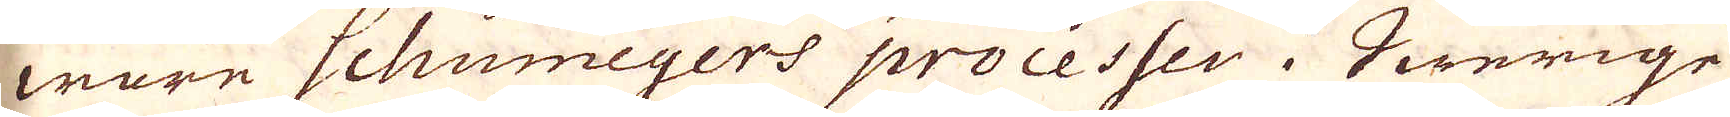ware Schumeijers processer i Swerige
